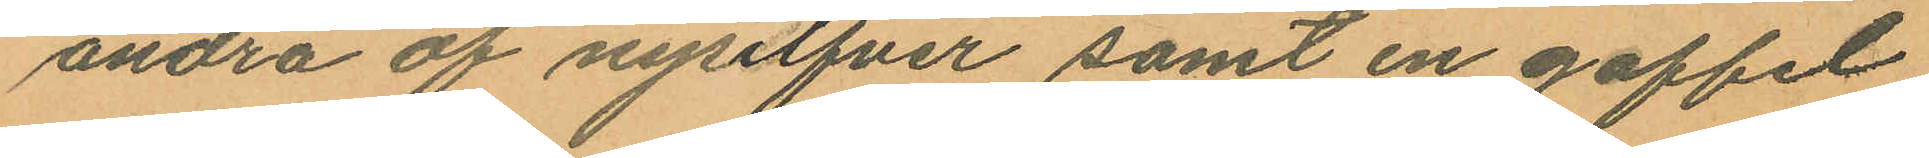andra af nysilfver samt en gaffel
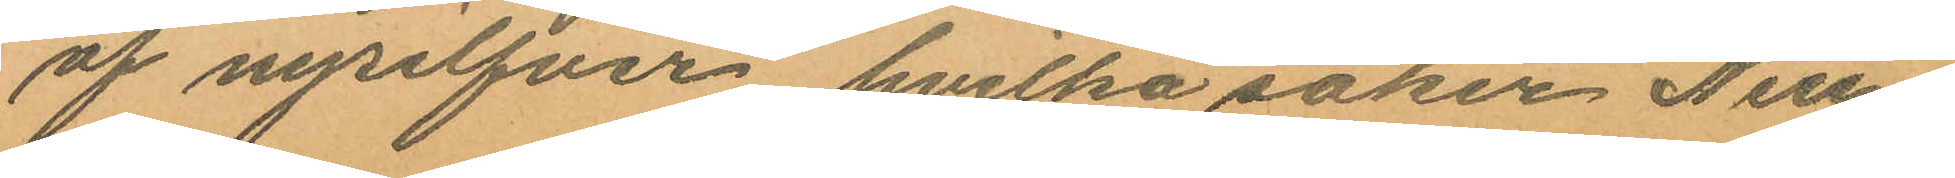af nysilfver, hvilka saker Neu¬
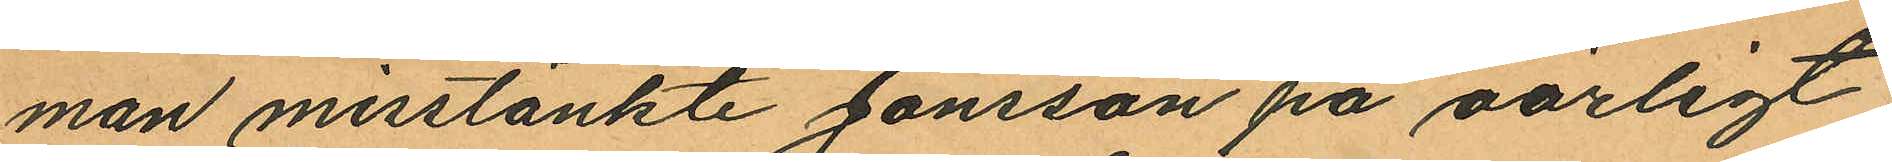man misstänkte Jonsson på oärligt
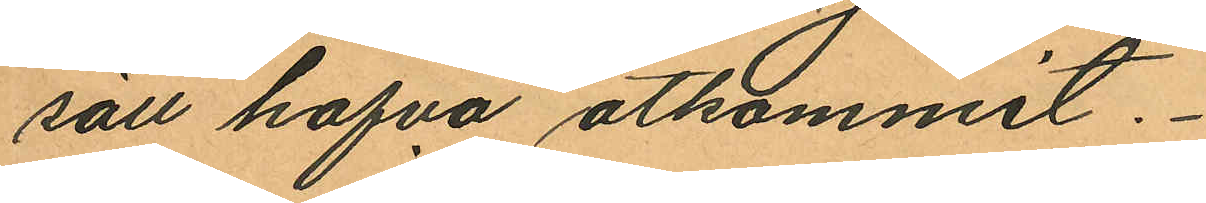sätt hafva åtkommit.
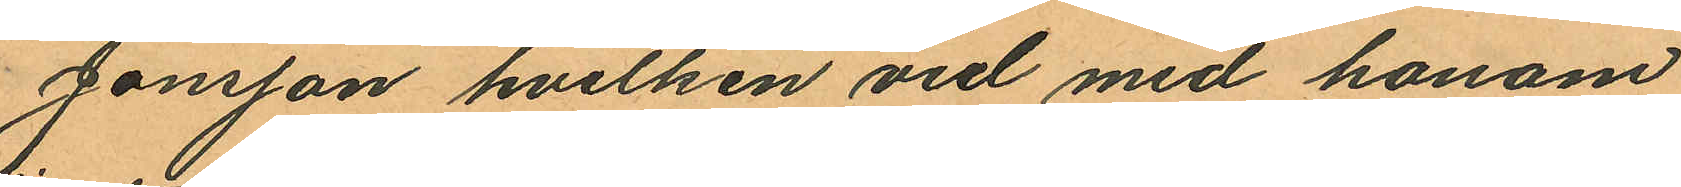Jonsson hvilken vid med honom
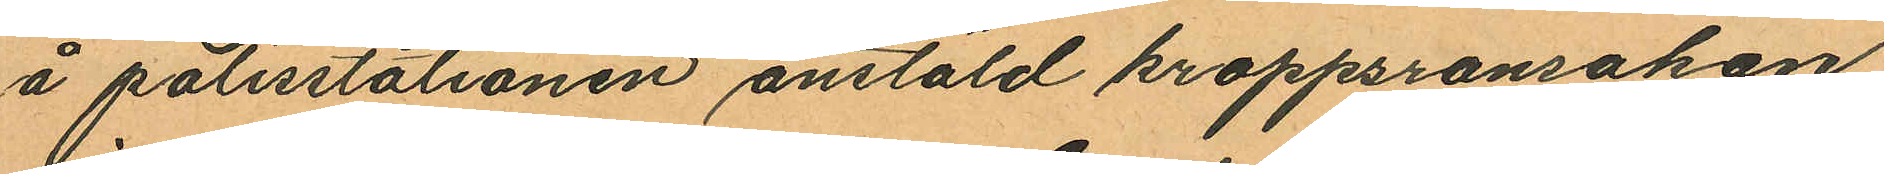å polisstationen anstäld kroppsransakan
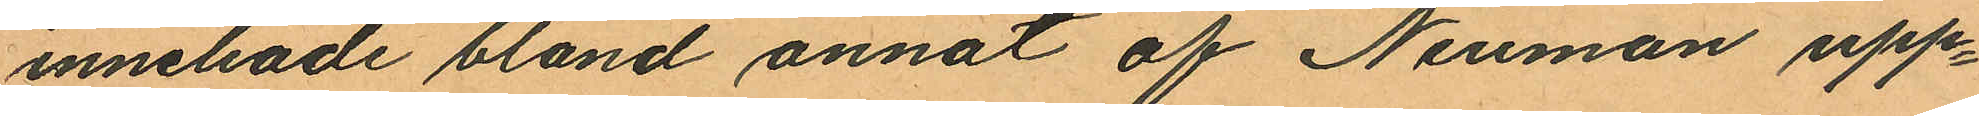innehade bland annat af Neuman upp¬
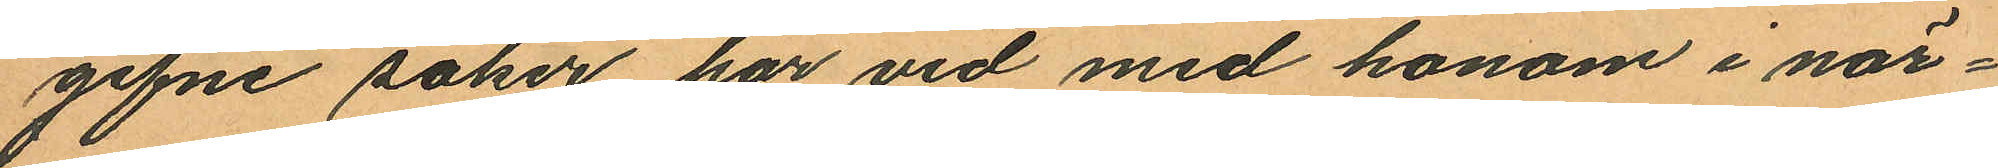gifne saker har vid med honom i när¬
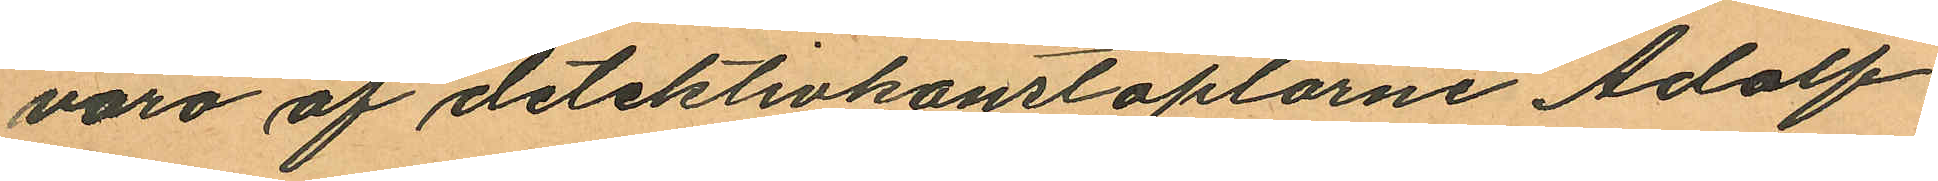varo af detektivkonstaplarne Adolf
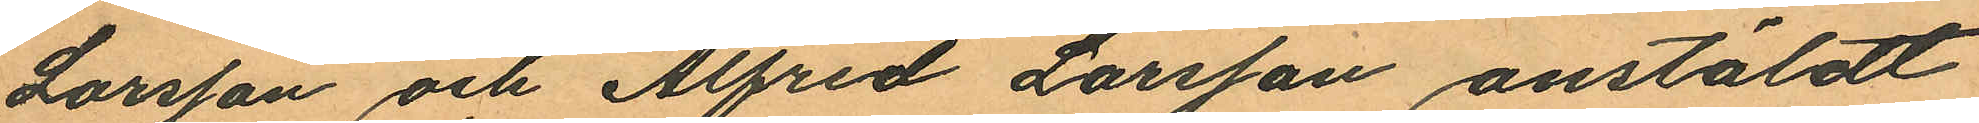Larsson och Alfred Larsson anstäldt
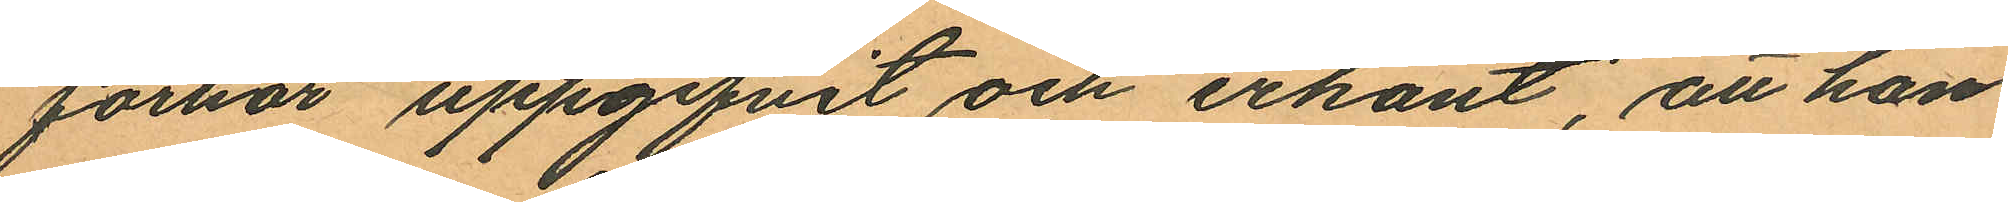förhör uppgifvit och erkänt, att han
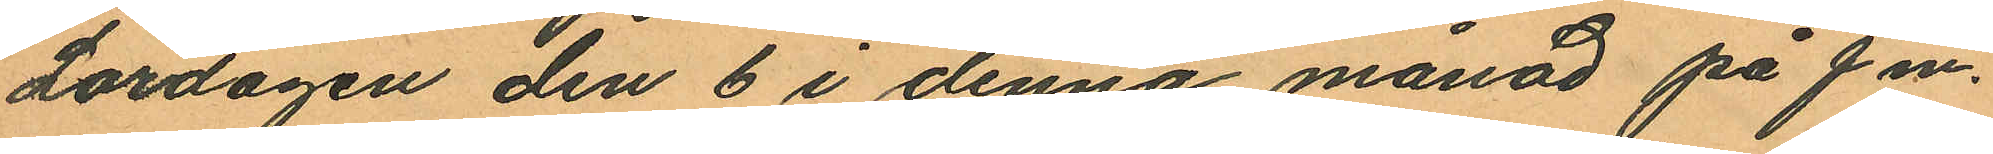Lördagen den 6 i denna månad på fm.
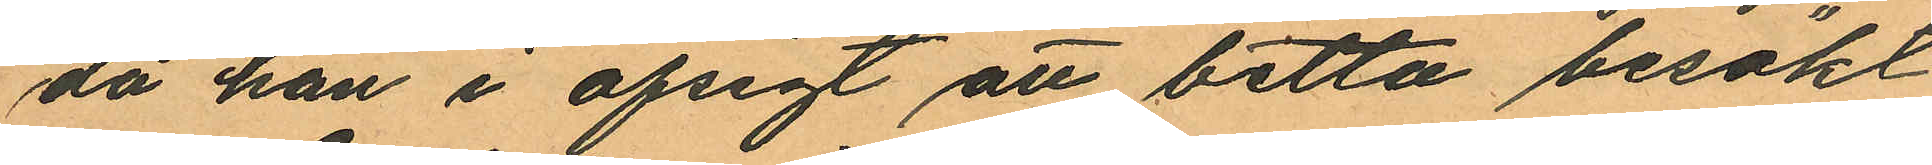då han i afsigt att betta besökt
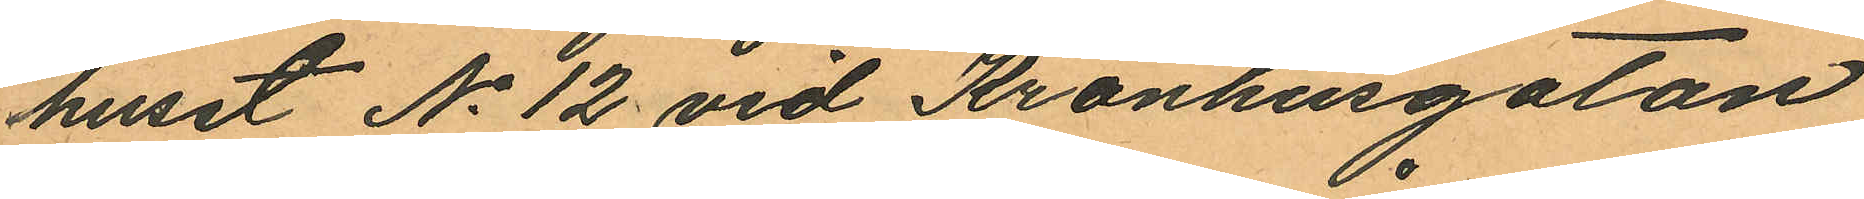huset No 12 vid Kronhusgatan
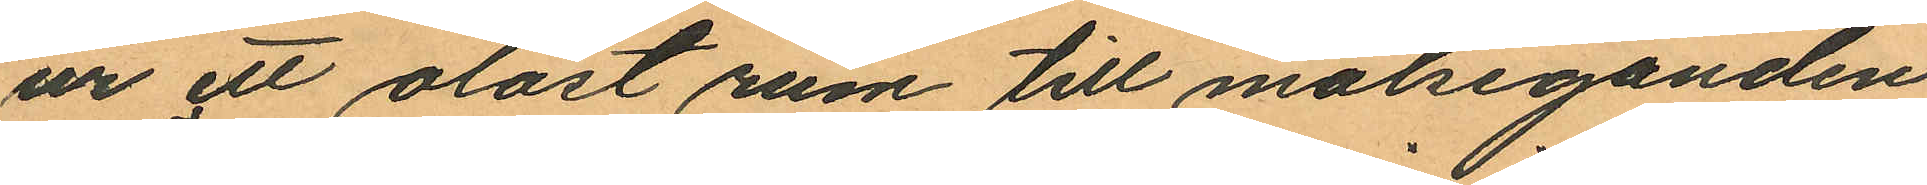ur ett olåst rum till målseganden
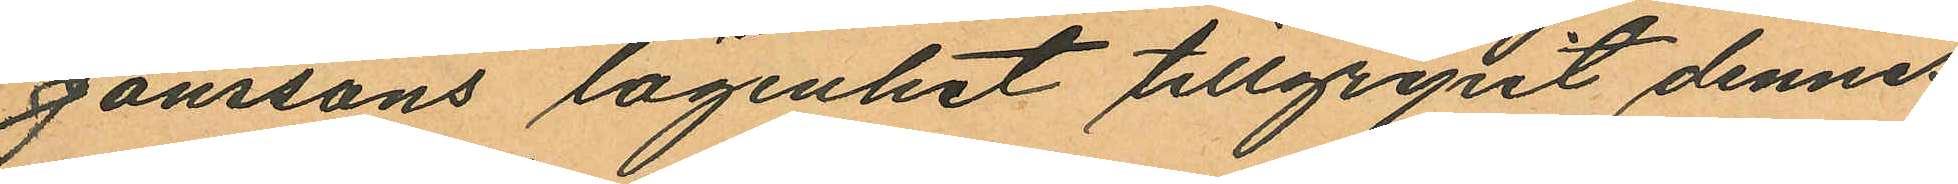Jönssons lägenhet tillgripit dennes
